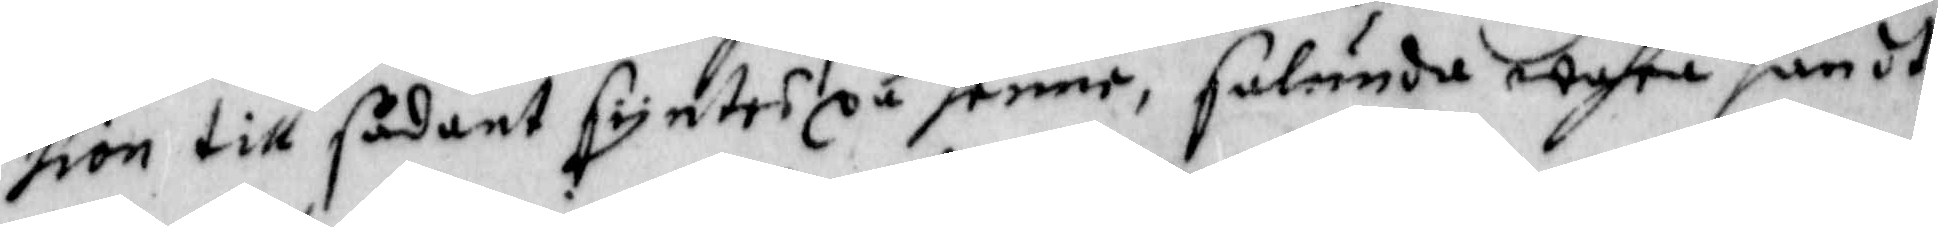sion till sådant syntes på henne, salunda wahre sändt
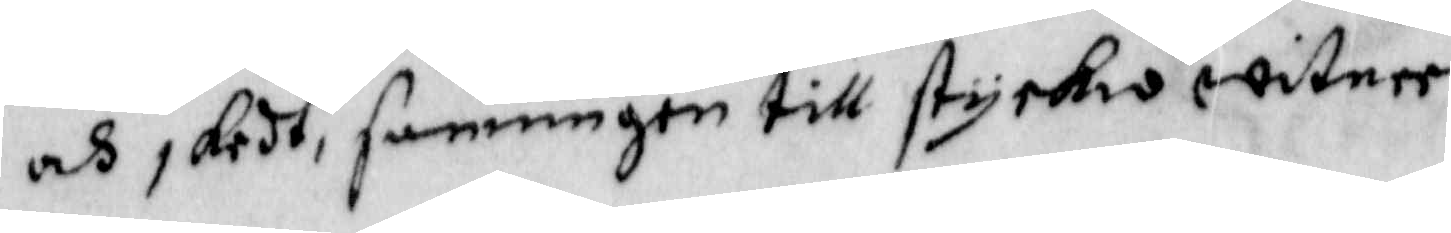och skedt, sanningen till styrkio witnee.
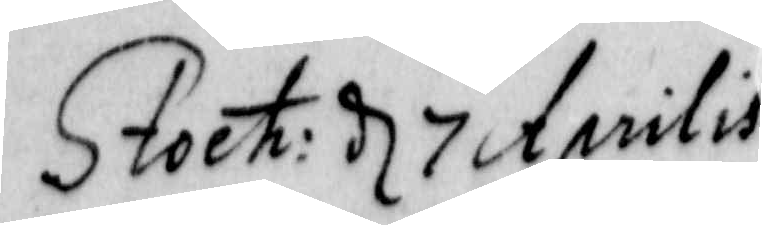Stock: d 7 Aprilis
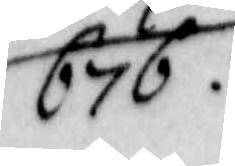676.
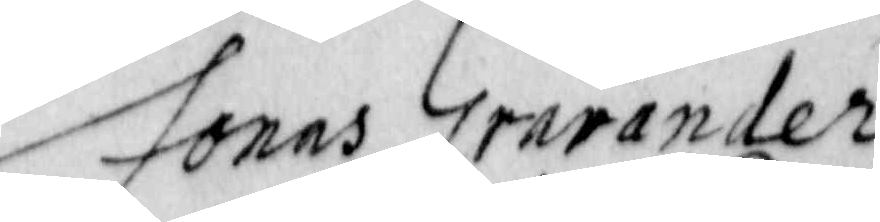Jonas Grarander
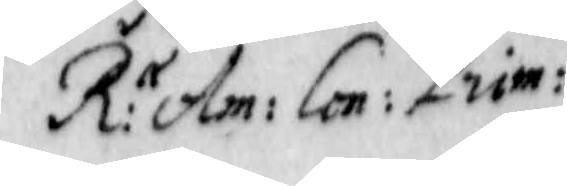R: r Am: Con: Prim:
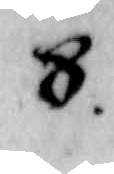8.
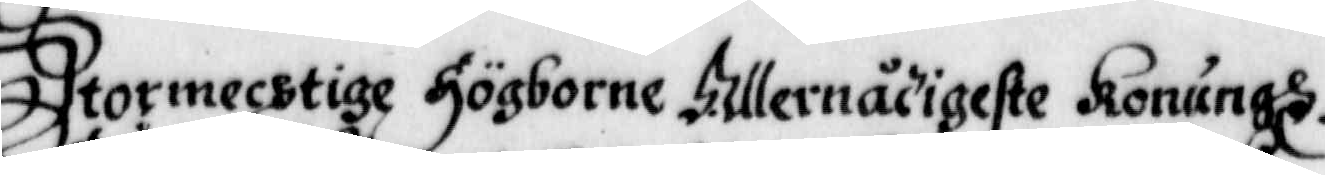Stormechtigste högborne Allernådigste Konungh.
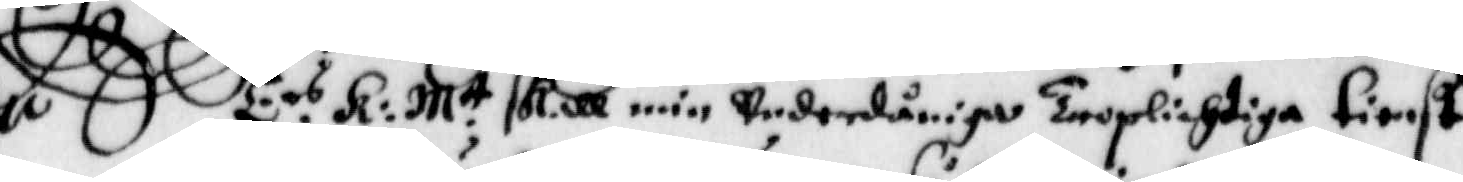E.rs K: M.tt skall min underdåniga Troplichtiga tienst
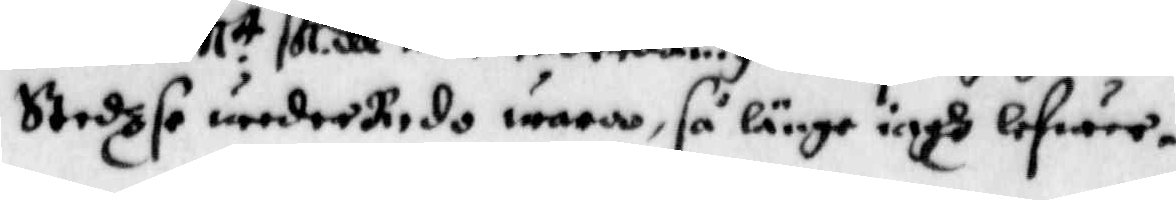Stedzse wederredo wara, så länge iagh lefwer.
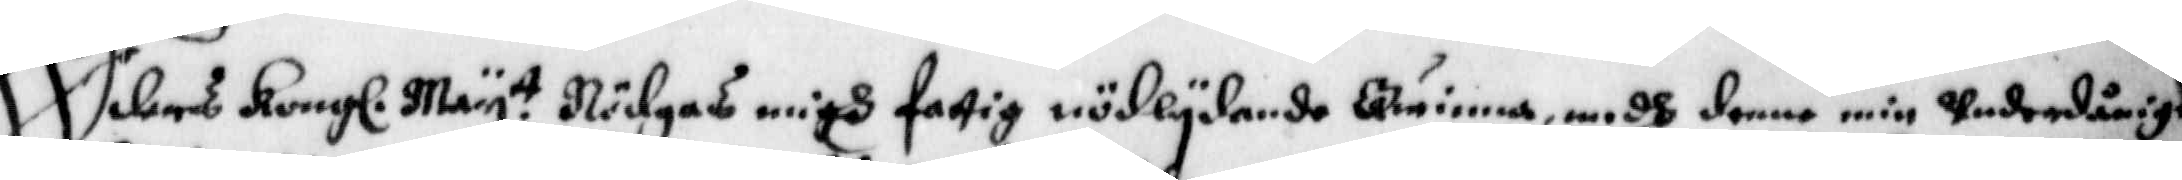Eders Kongl. May.tt Nödgas migh fattig nödlydande Qwinna, medh denne min underdånige
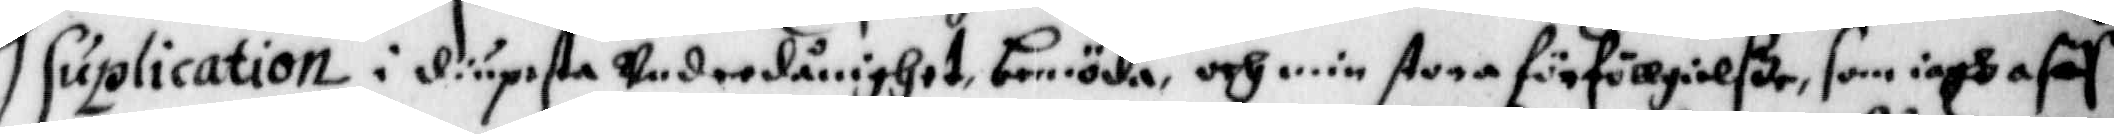Suplication i diupeste underdånighet bemöda, och min stora förföllgielße, som iagh afaf
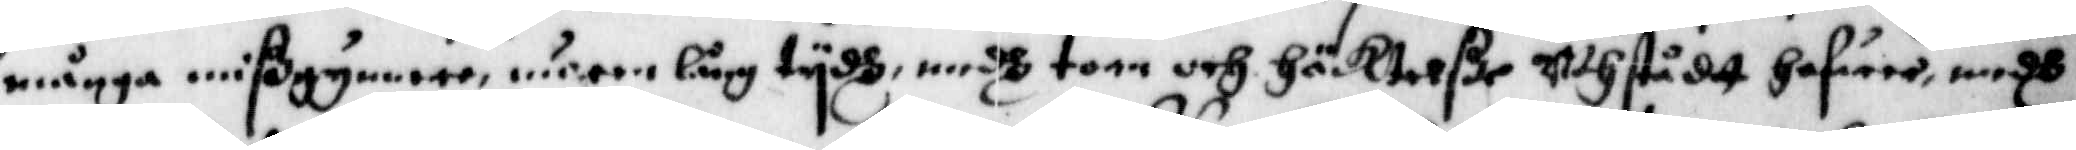många mißgynnare woren lång tydh, medh torr och Gäktelße uthstådt hafwer, medh
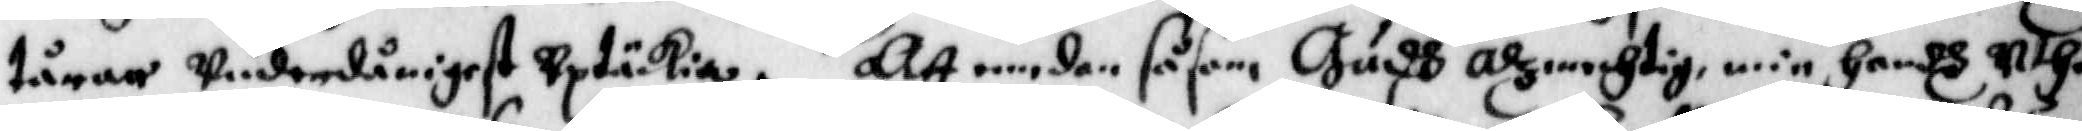tårar underdånigest uptäckia. Att medan såsom Gudh alzmechtig min handh uthi
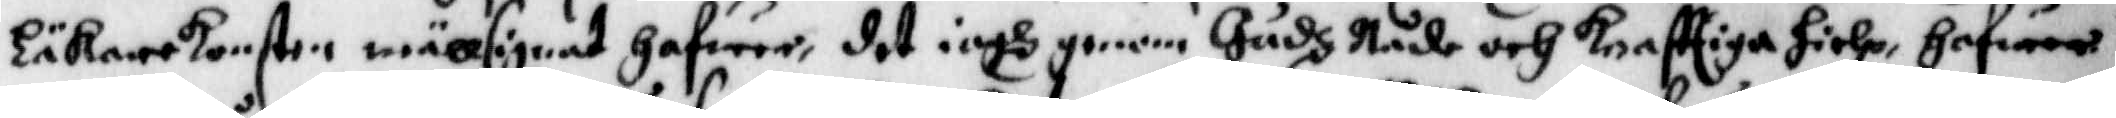Läkarekonsten wälsignat gafwer, det iagh genom Gudz Nåde och Krafftige hielp, hafwer
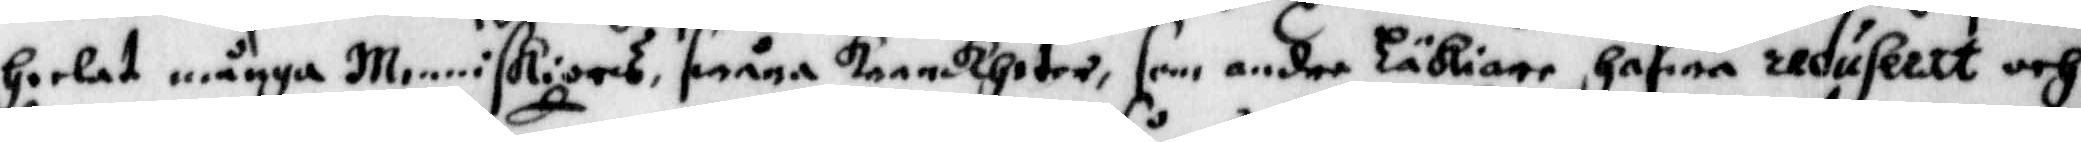heeöat många Menniskiors swåra Krankheter, som andre Läkiare hafwa reduseret och
